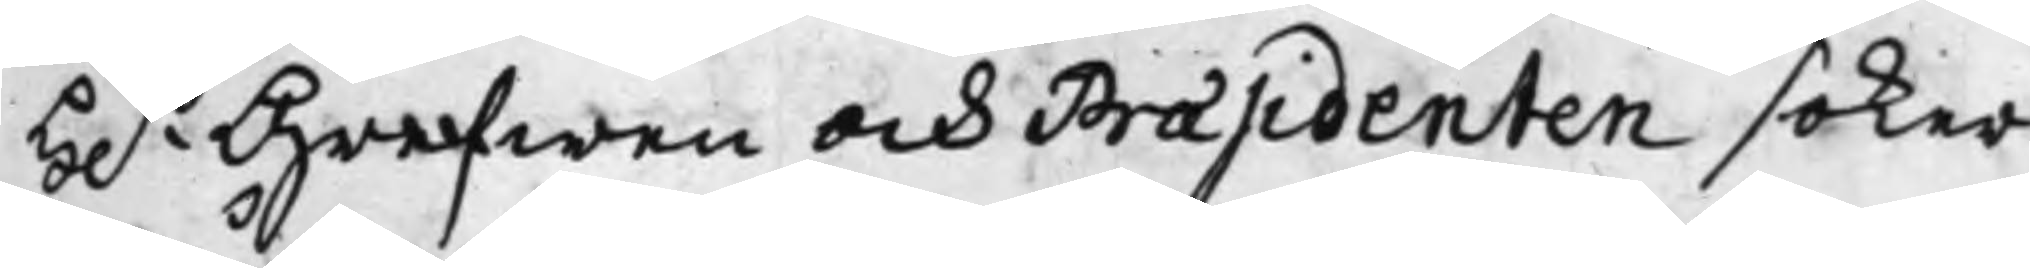H.r Grefwen och Praesidenten soker
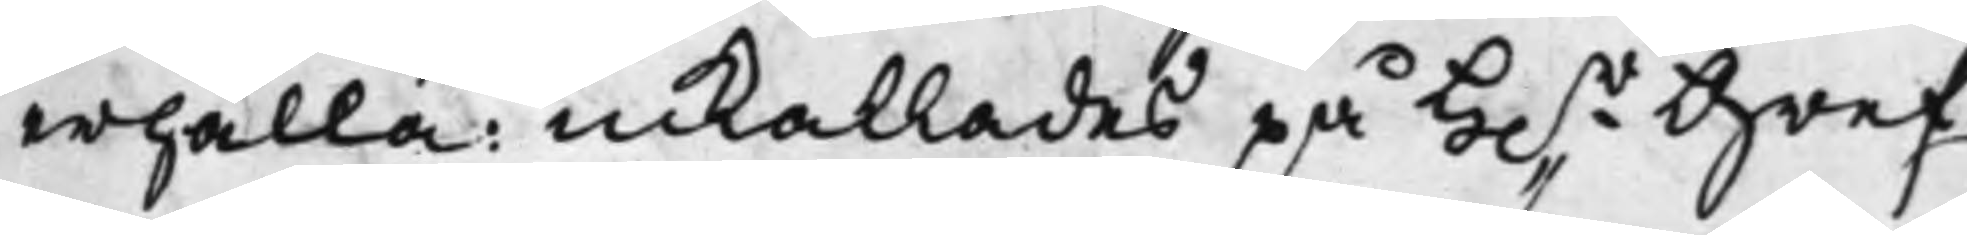erhålla: inkallades på H.r Gref¬
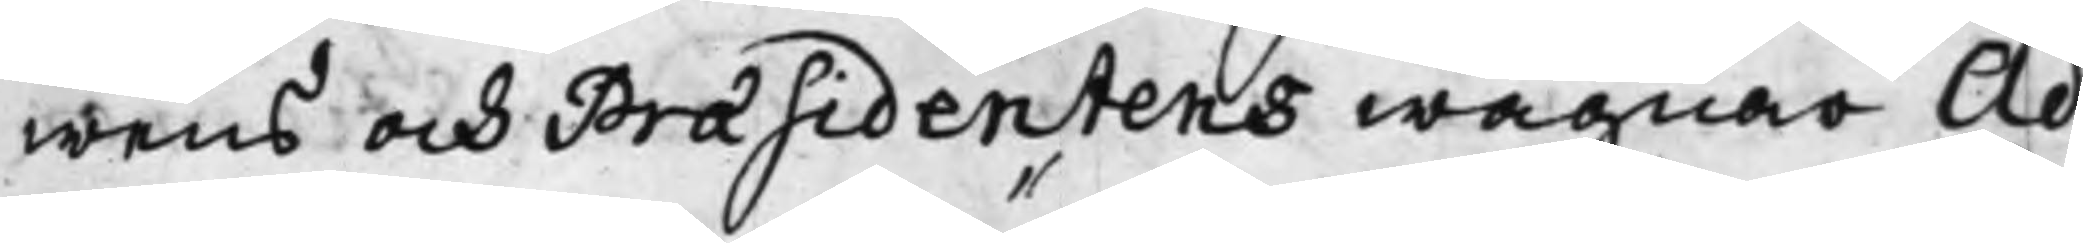wens och Praesidentens wägnar Ad¬
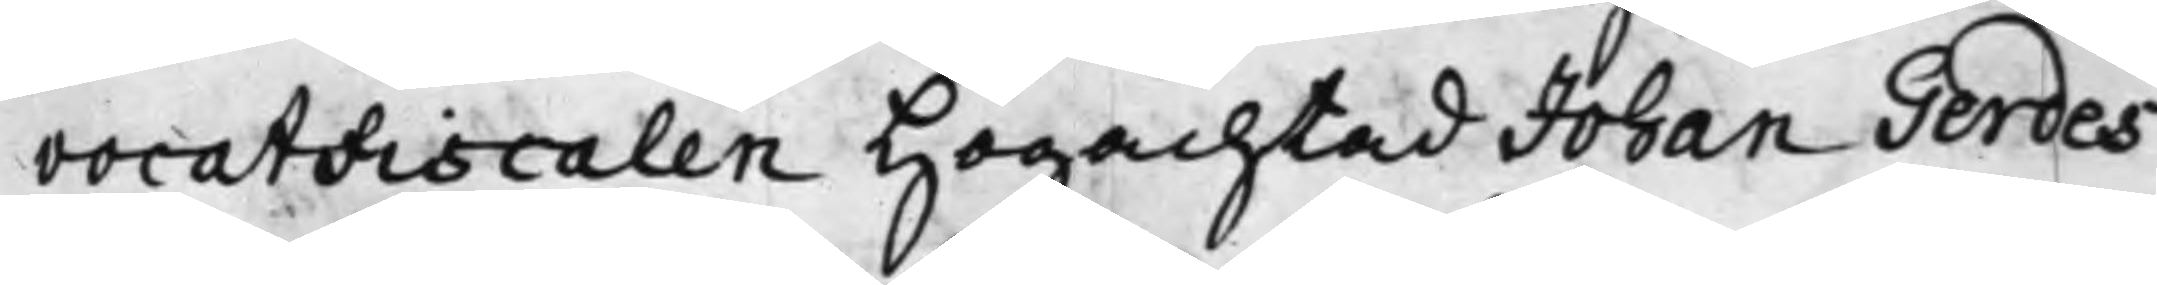vocatFiscalen Högachtad Johan Gerdes
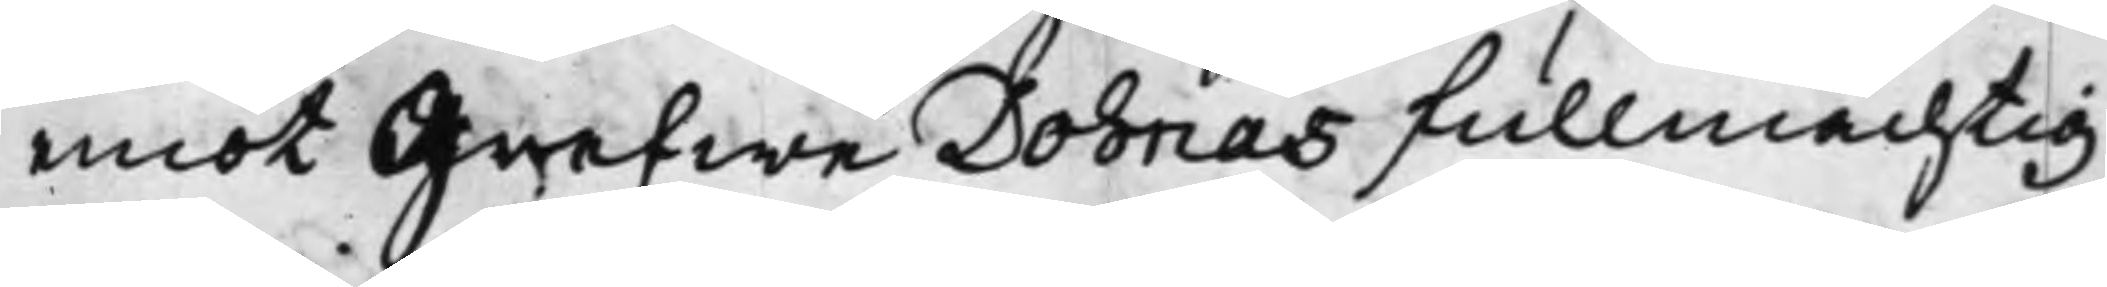emot Grefwe Dohnas fullmächtig
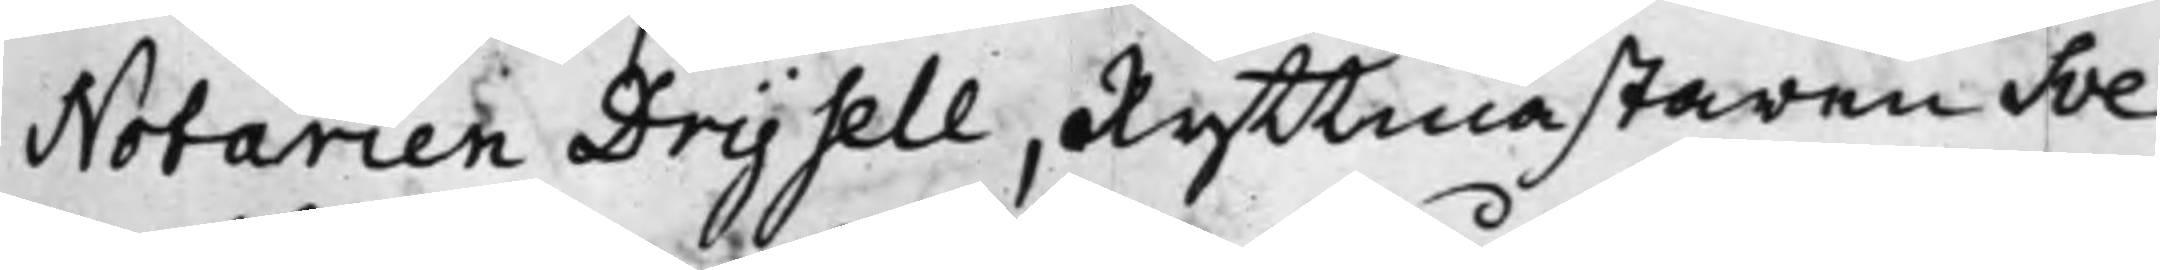Notarien Drysell, Ryttmästaren Sve¬
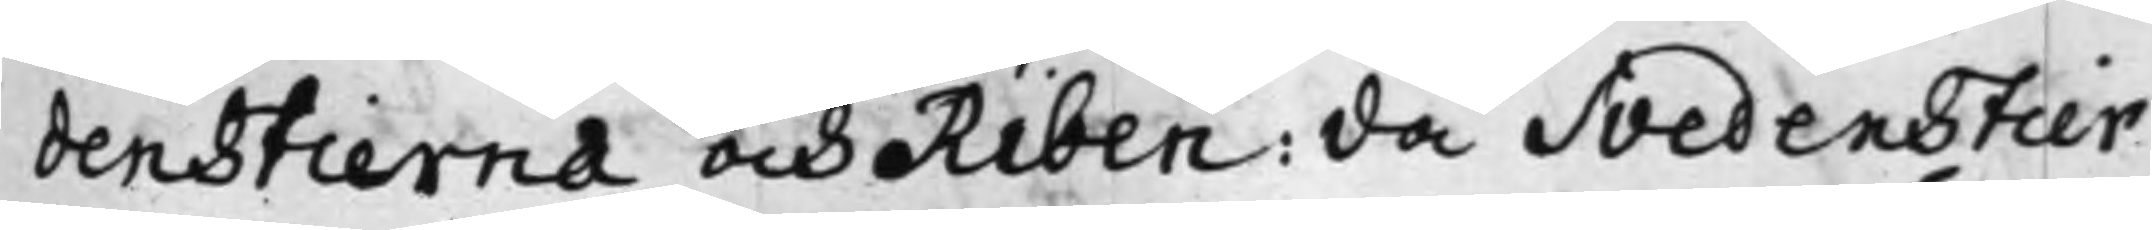denstierna och Riben: då Svedenstier¬
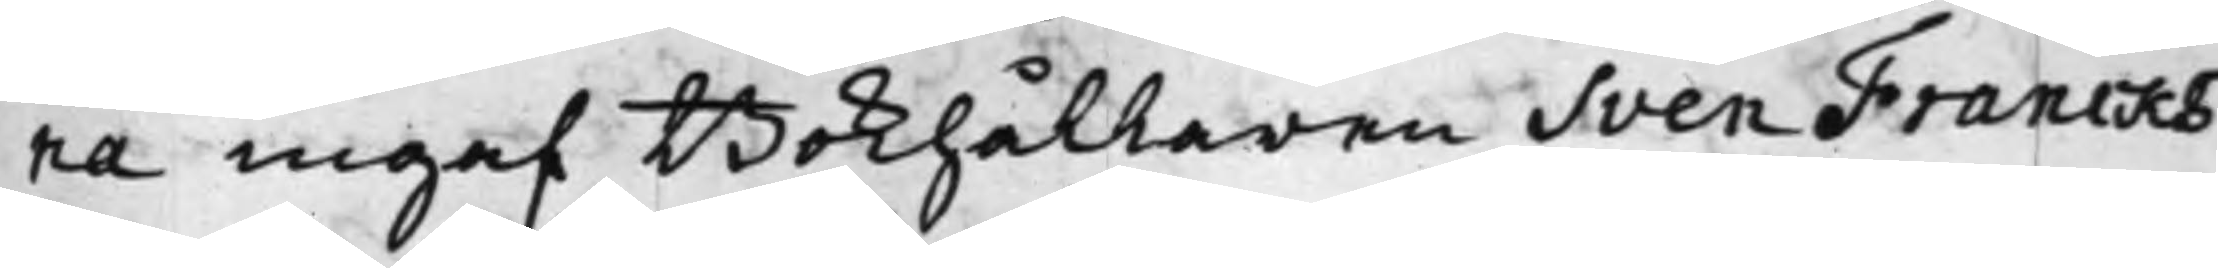na ingaf Bokhållaren Sven Francks
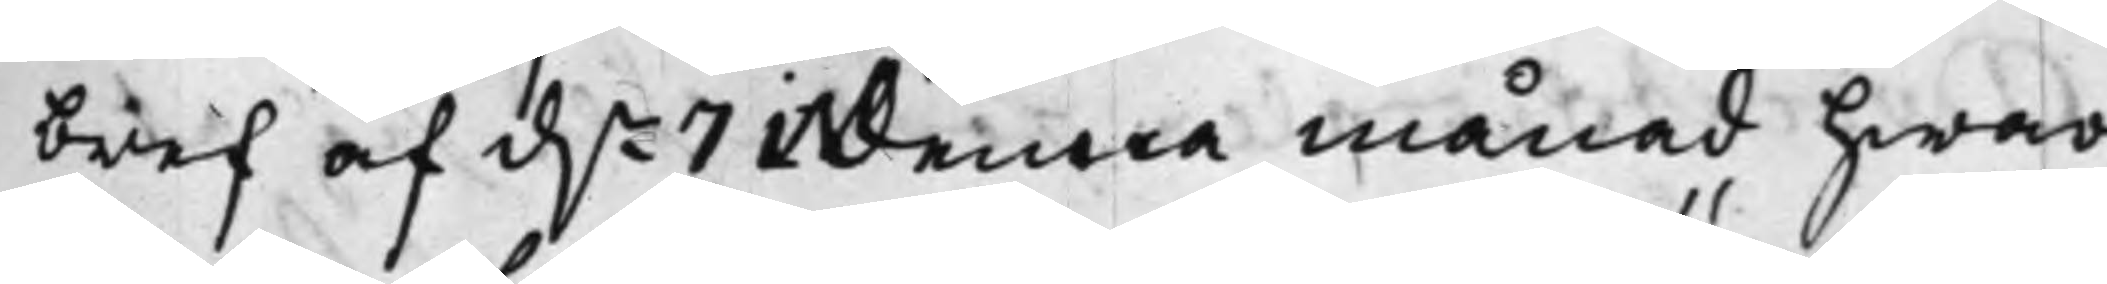bref af d.n 7 i denna månad hwar¬
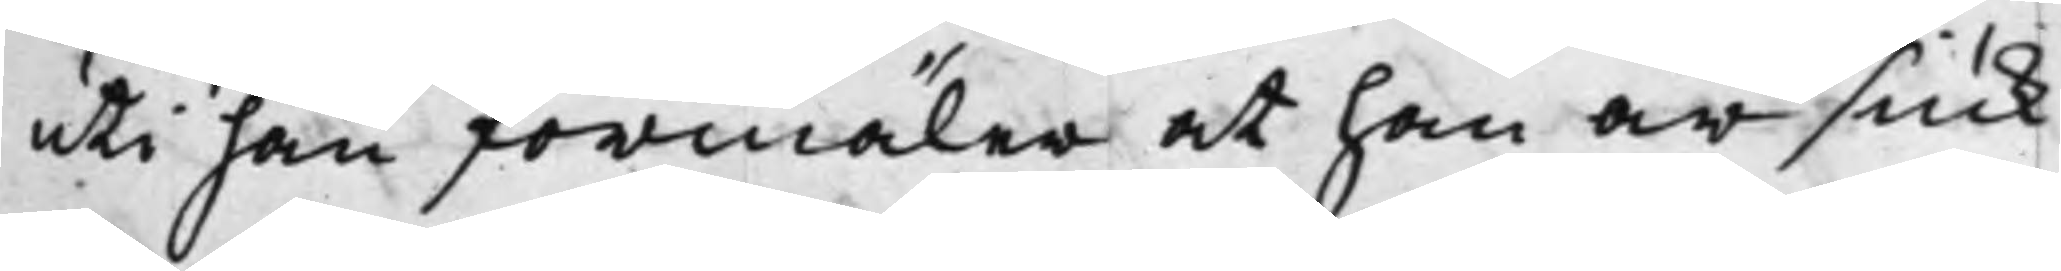uti han förmäler at han är siuk
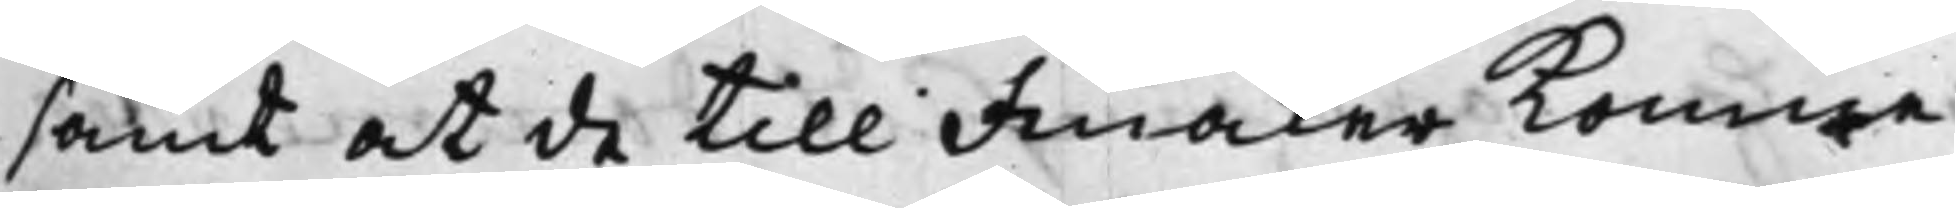samt at de till Finåker komne
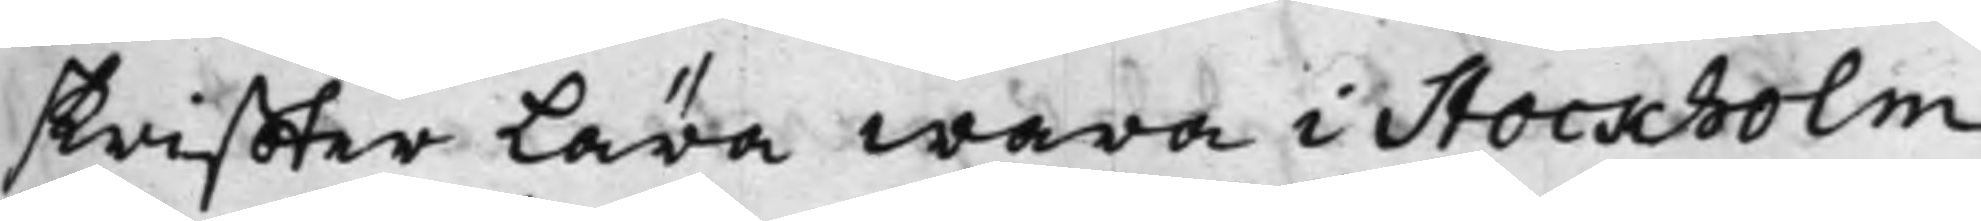skriffter Lära wara i Stockholm,
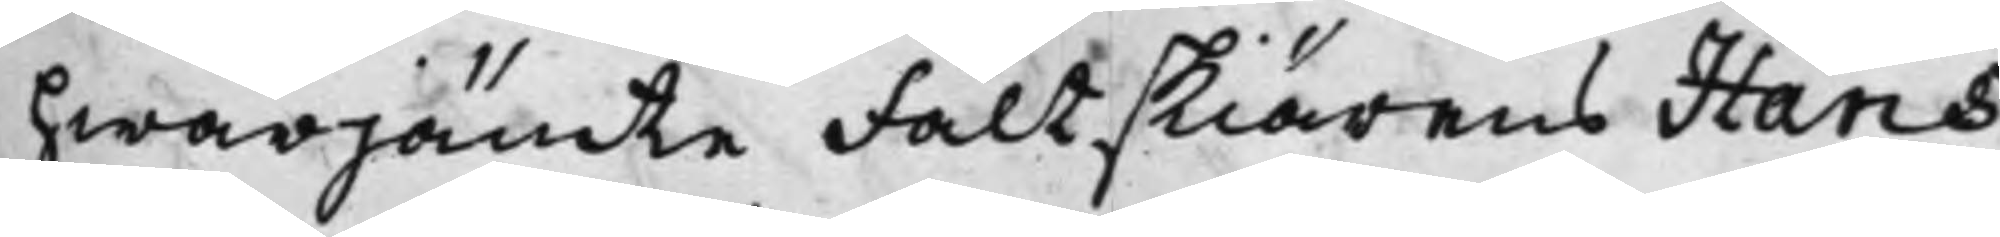hwarjämre Fältskiärens Hans
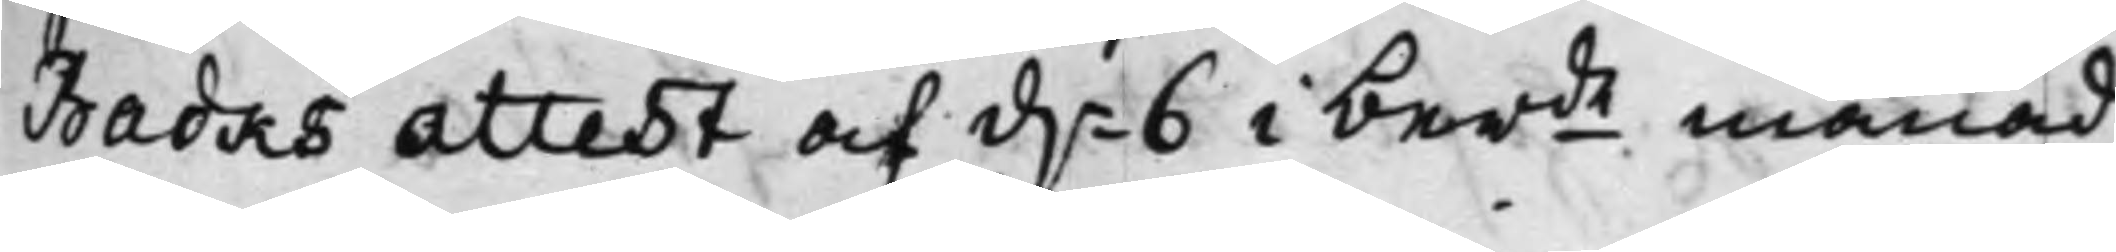Barks attest af d.n 6 i berde månad
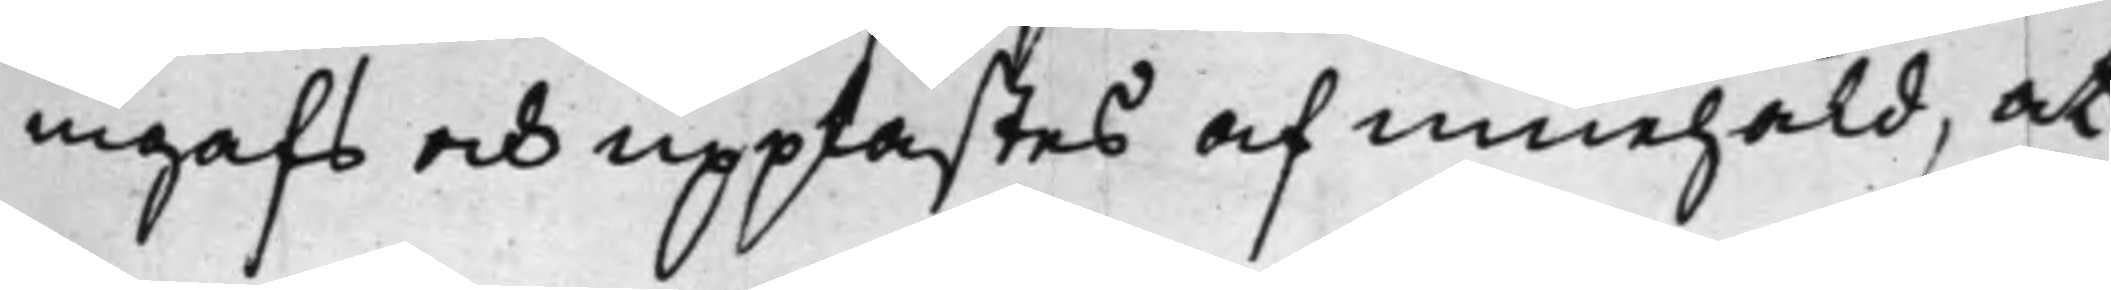ingafs och upplästes af innehåld, at
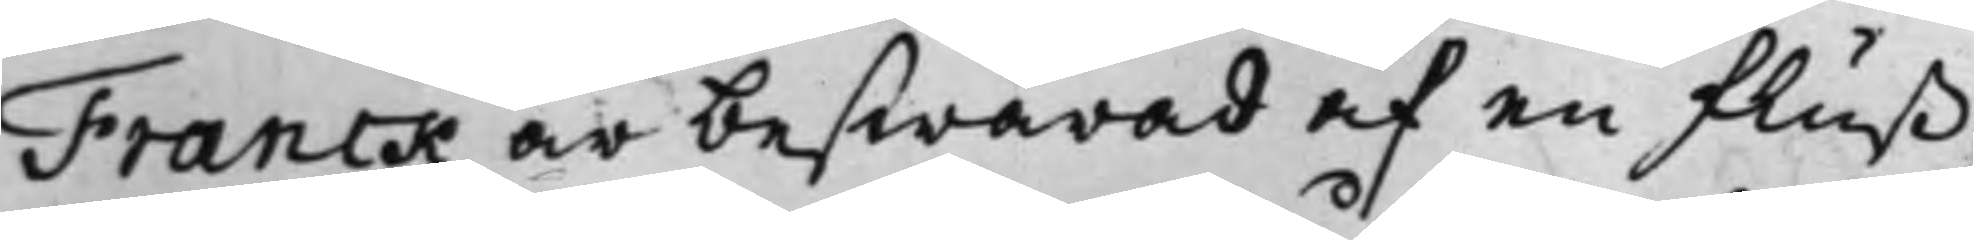Franck är beswärad af en fluß¬
